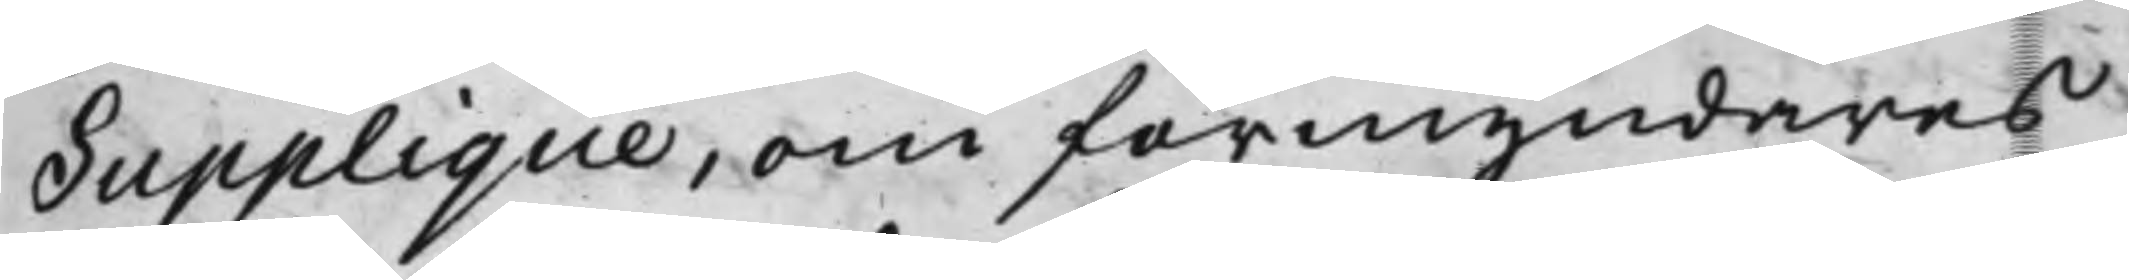Supplique, om förmyndares
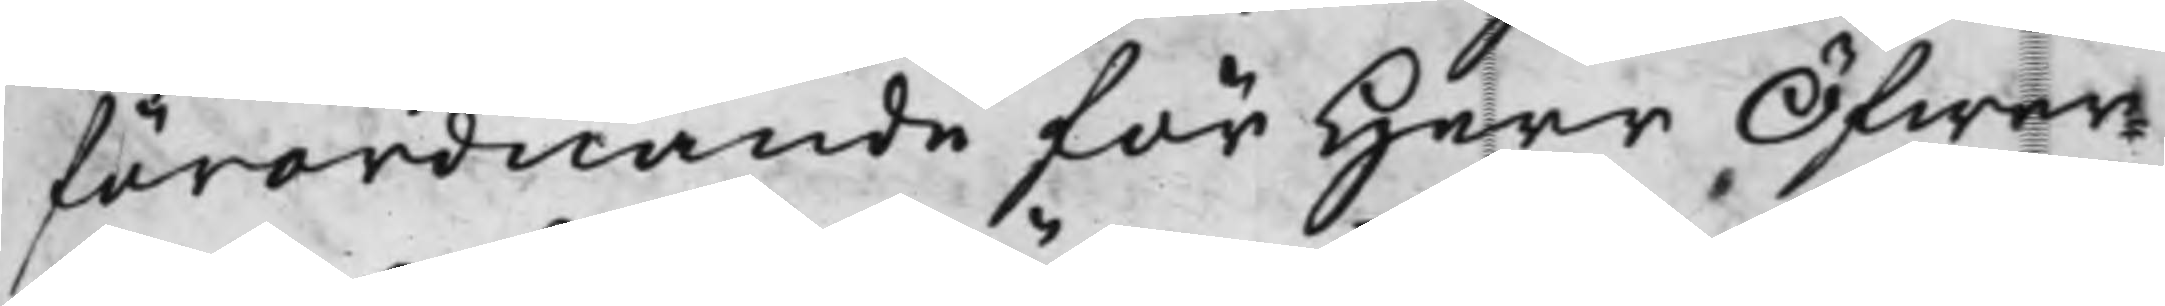förordnande för Herr Öfwer¬
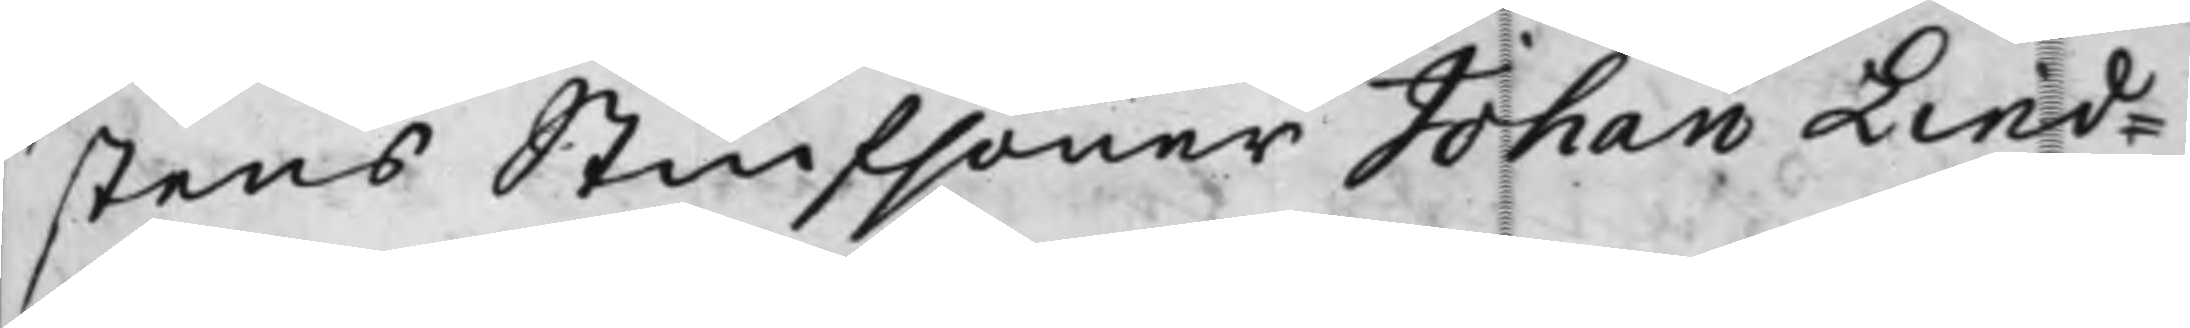stens Stiufsöner Johan Lind¬
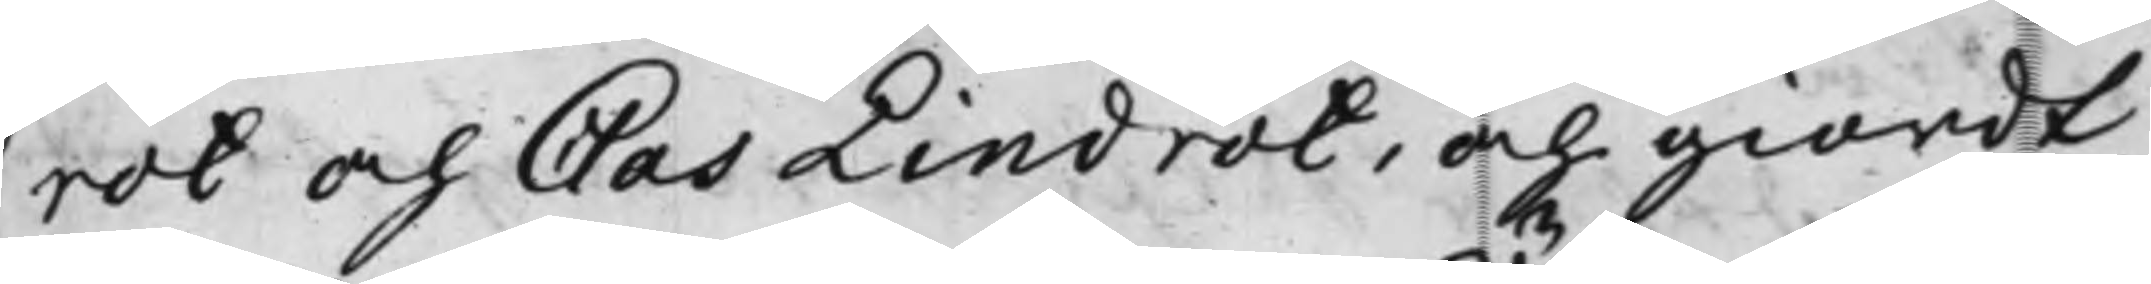rot och Clas Lindrot, och giordt
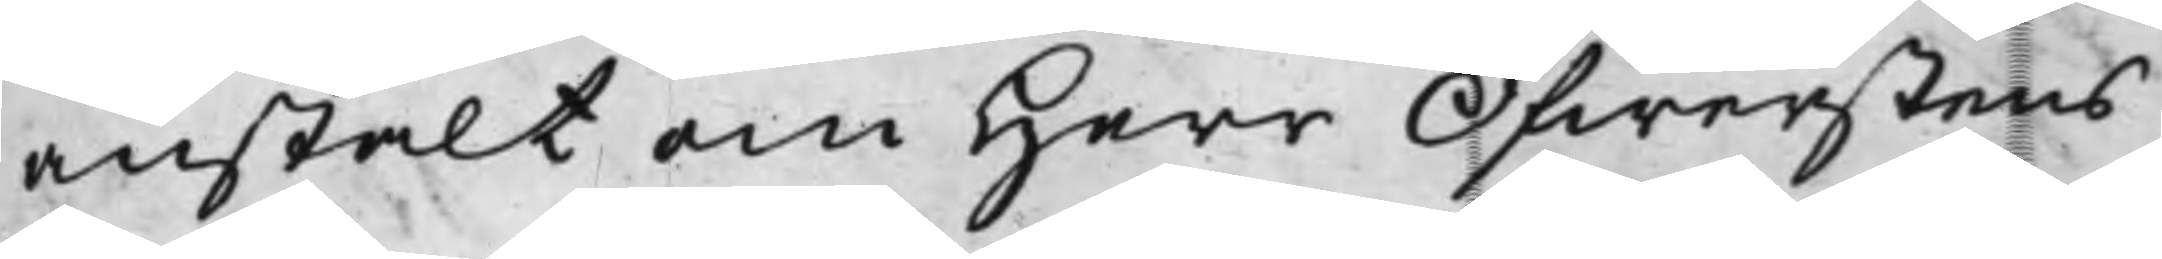anstalt om Herr Öfwerstens
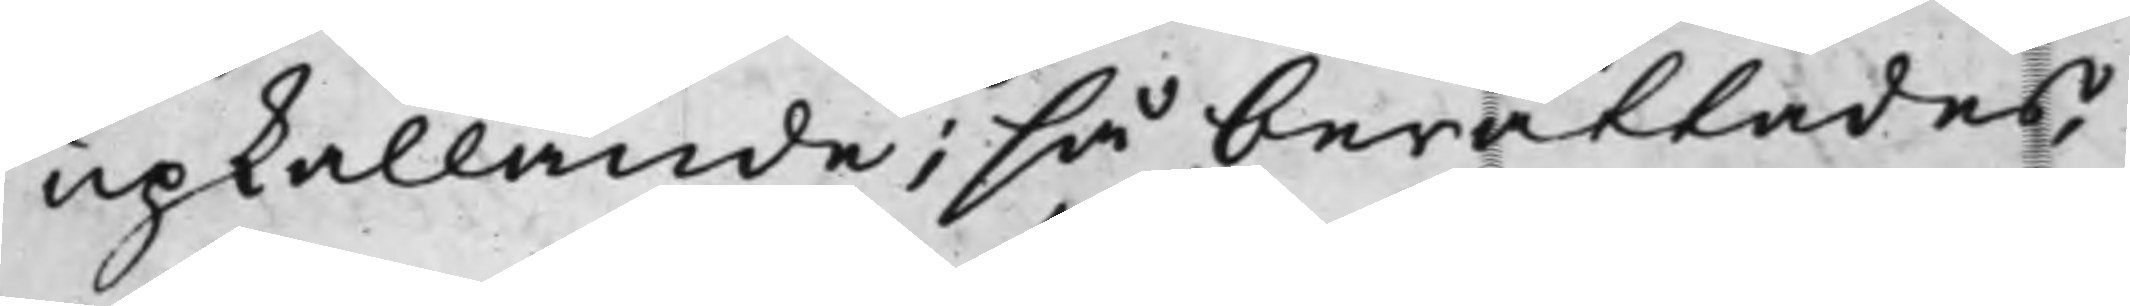upkallande; så berättades,
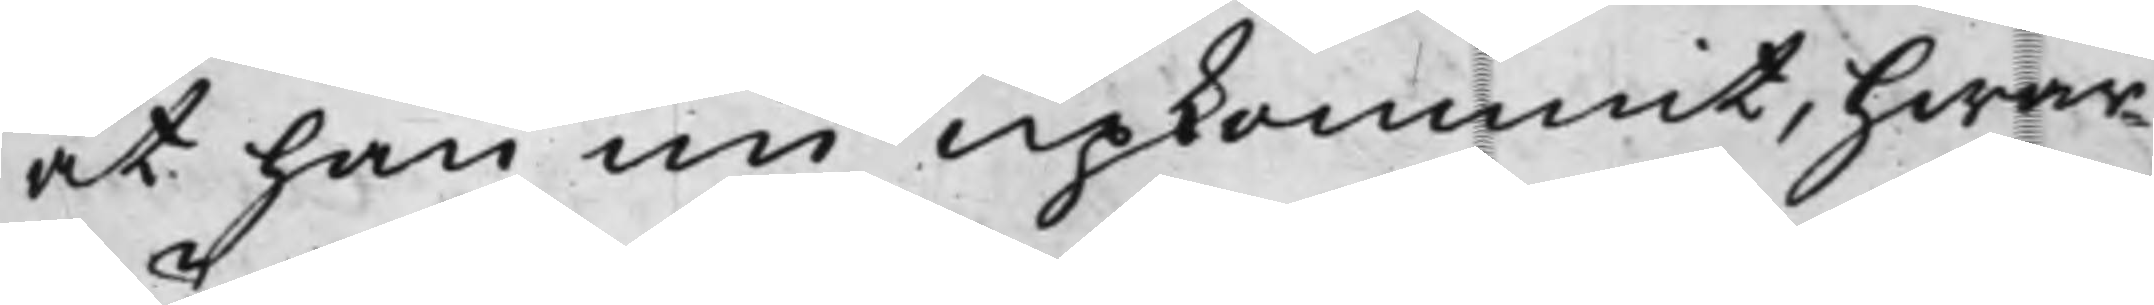at han nu upkommit, hwar¬
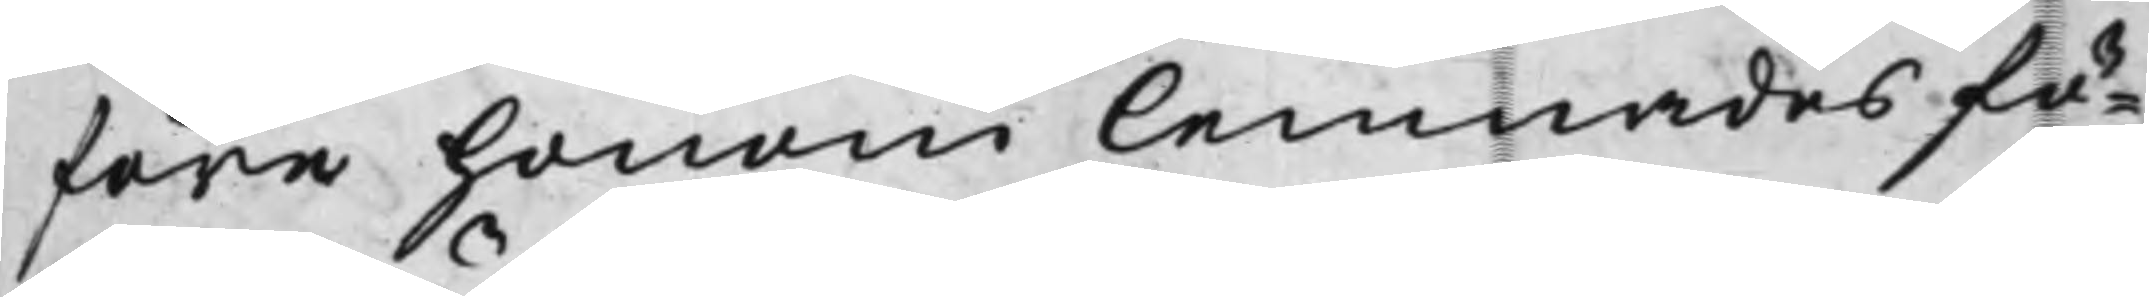före honom lemnades fö¬
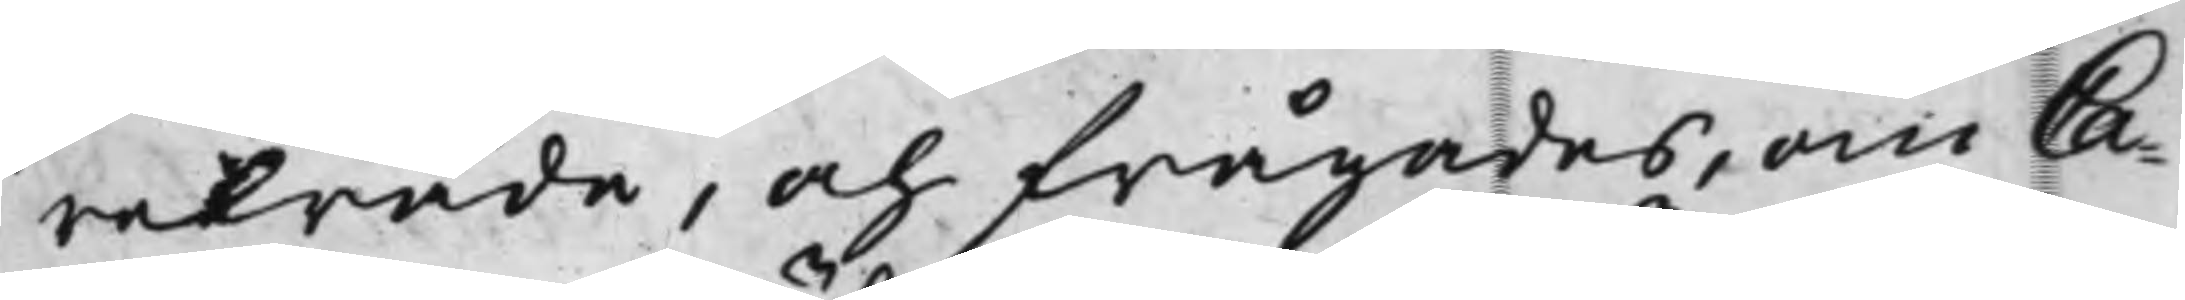reträde, och frågades, om Ca¬
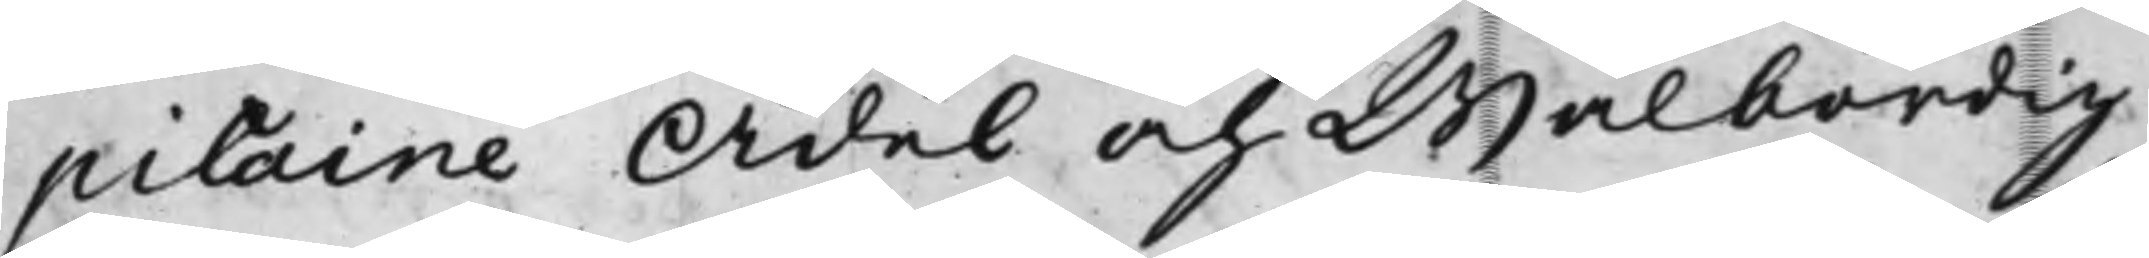pitaine Ädel och Wälbördig
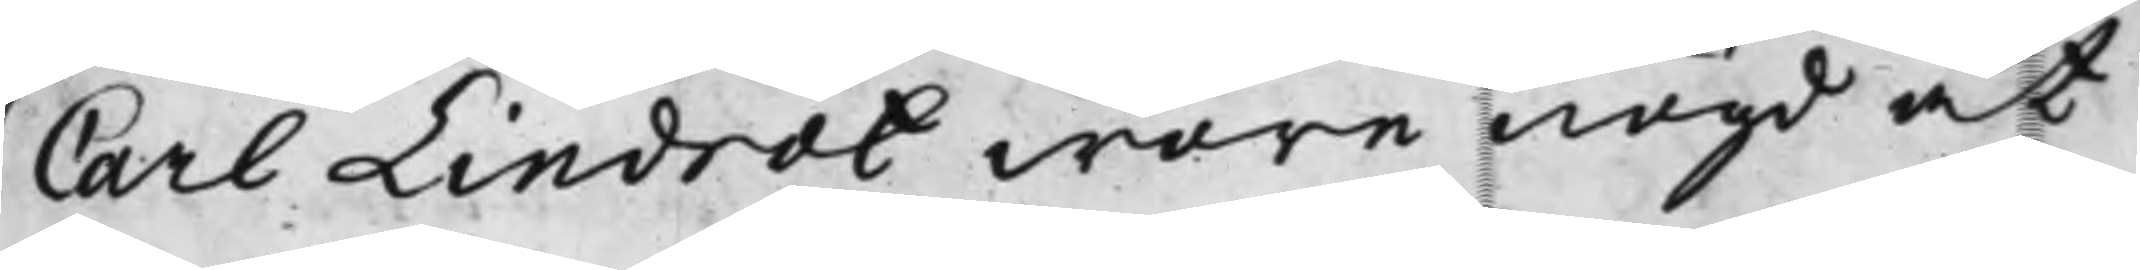Carl Lindrot wore nögd at
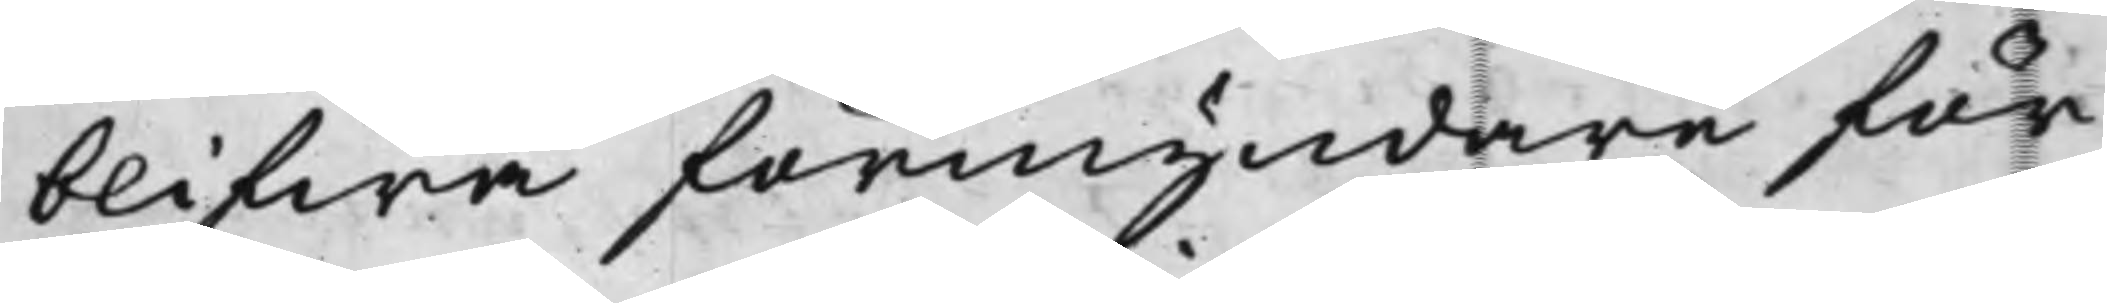blifwa förmyndare för
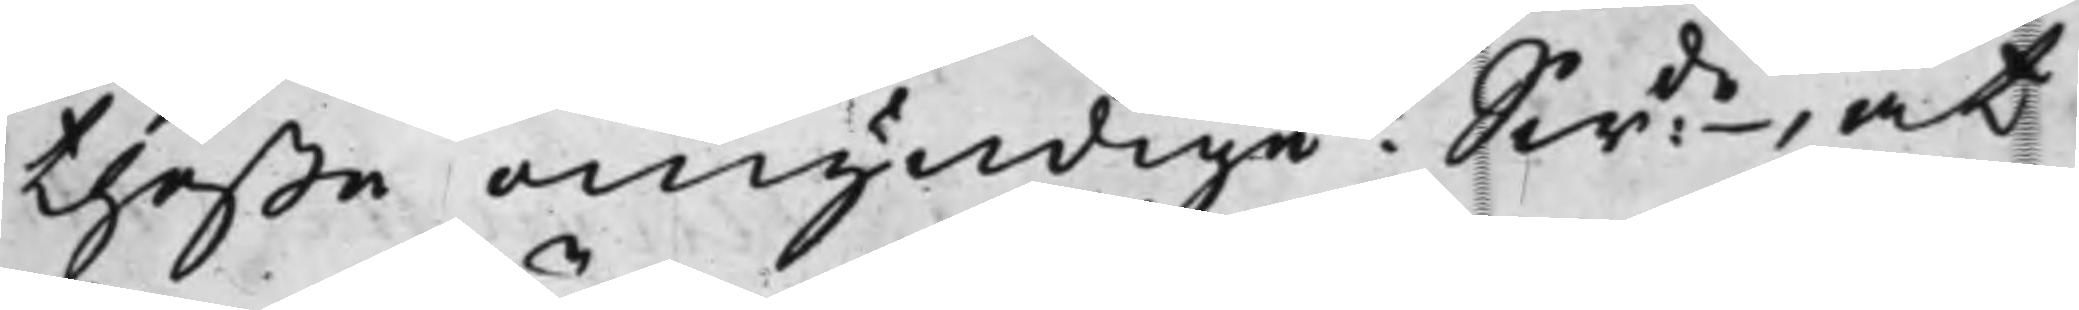theße omyndige? Swde, at
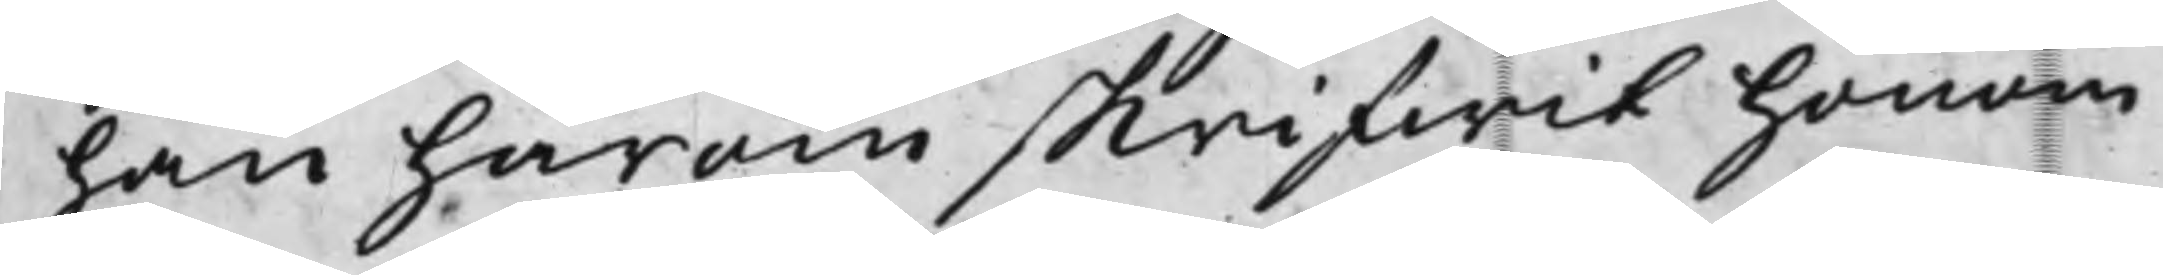han härom skrifwit honom
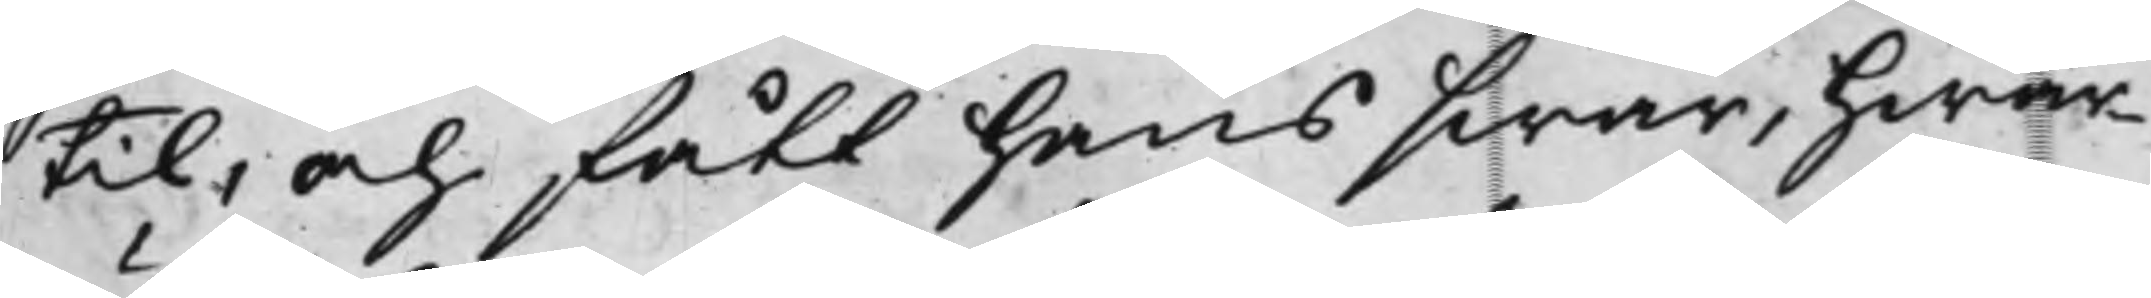till, och fått hans swar, hwar¬
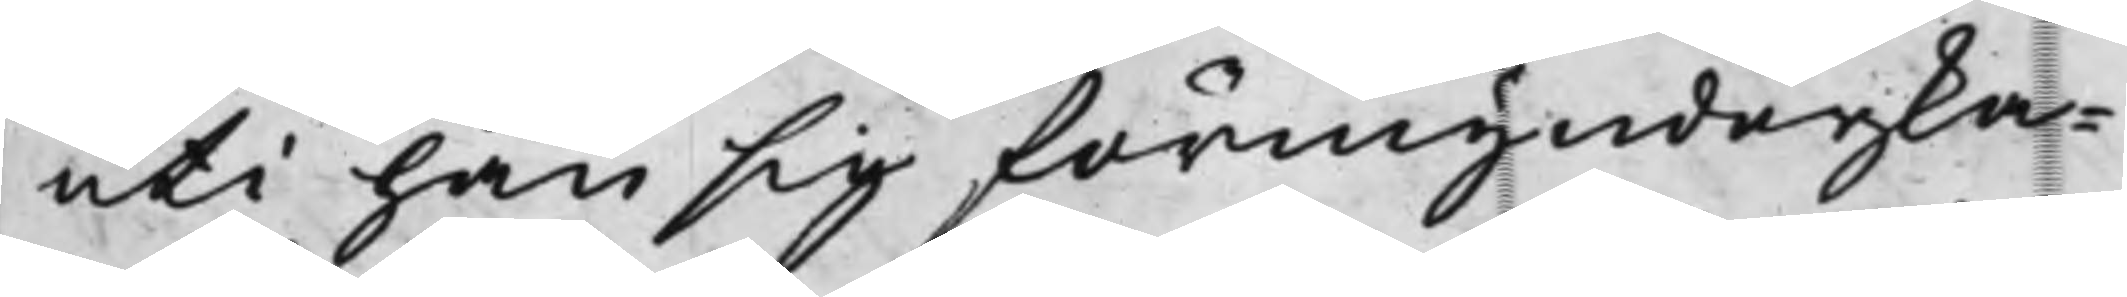uti han sig förmynderska¬
